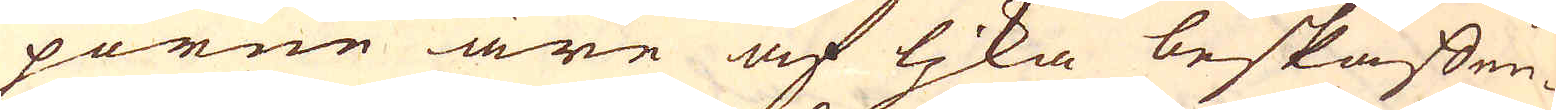porne äre af ljka beskaffen-
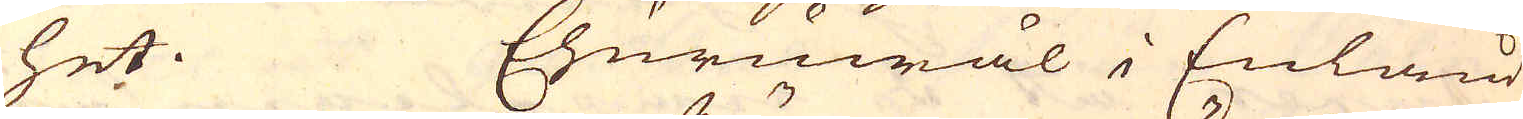het. Ehuruwäl i Enland
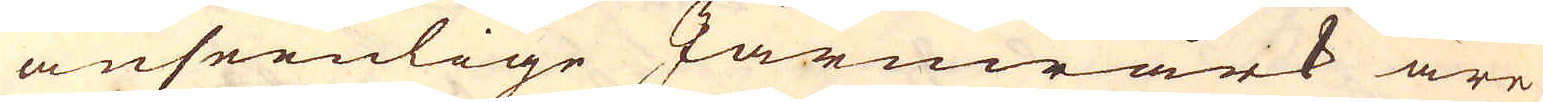anseenlige Järnwärk äre
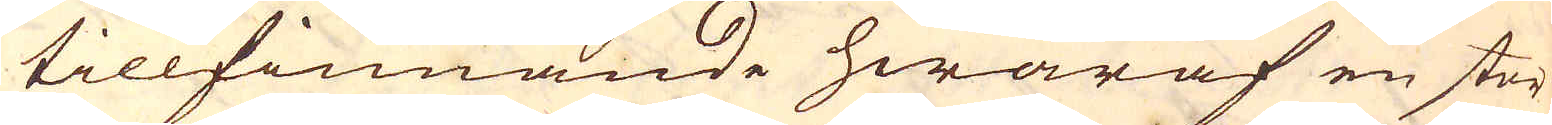tillfinnande hwaraf en stor
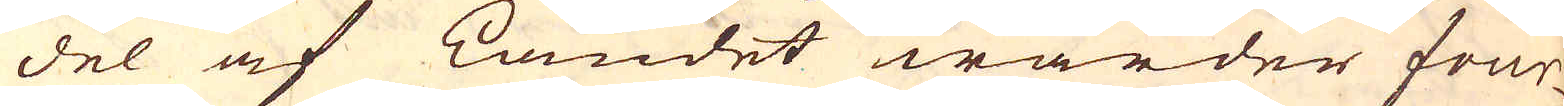del af Landet warder four-
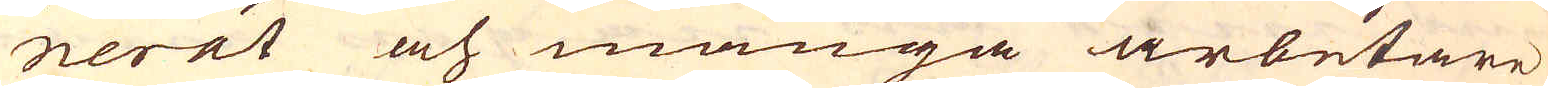nerat och många arbetare
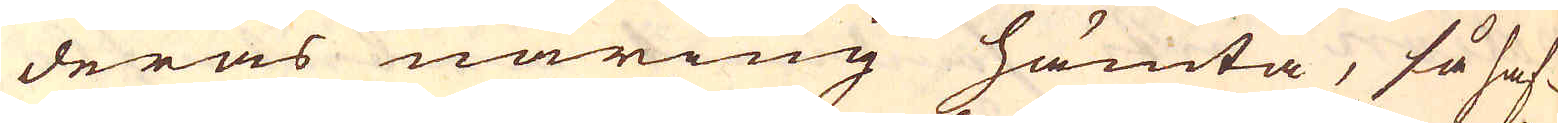deras näring hämta, så haf-
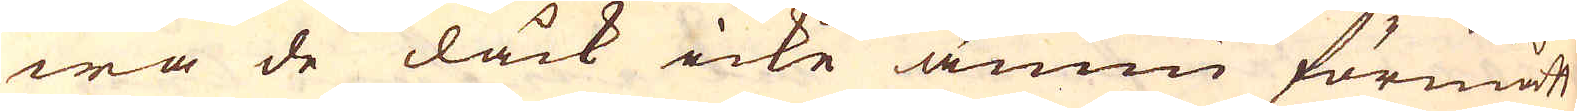wa de dåck icke ännu förmått
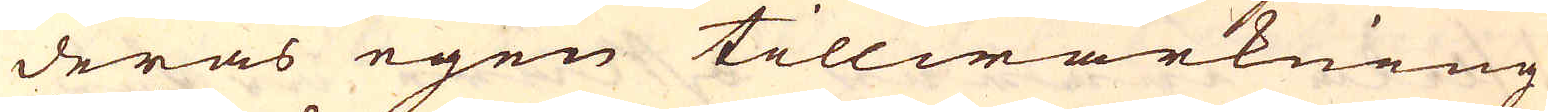deras egen tillwärkning
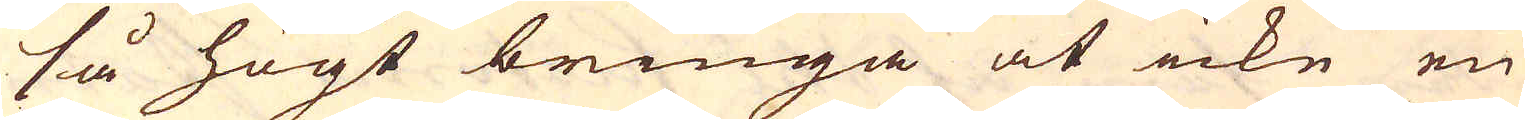så högt bringa at icke en
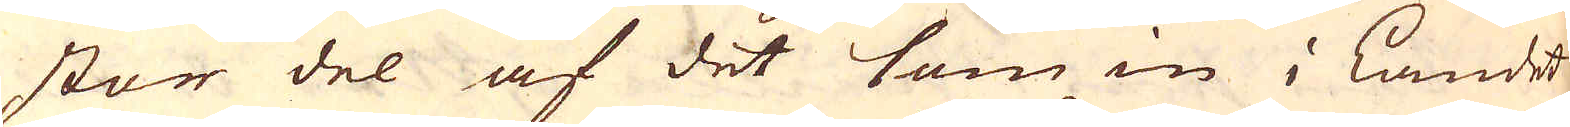stor del af det som in i Landet
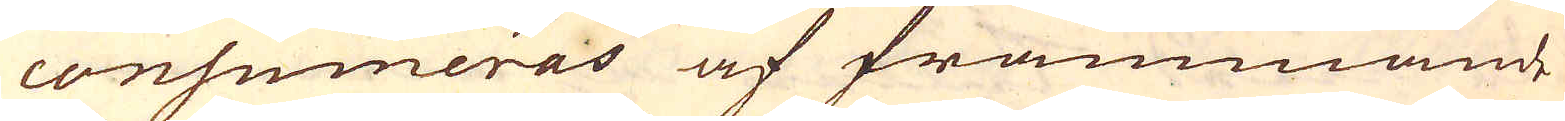consumeras af främmande
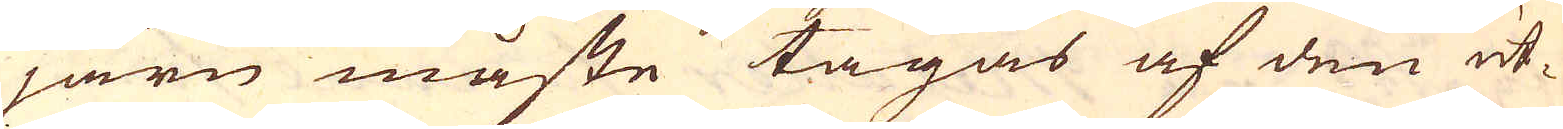järn måste tagas af den ut-
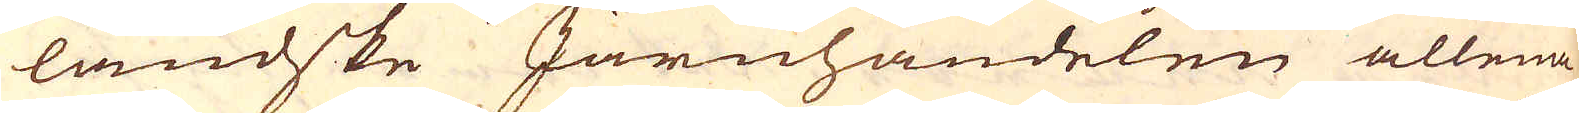ländske Järnhandelen allena
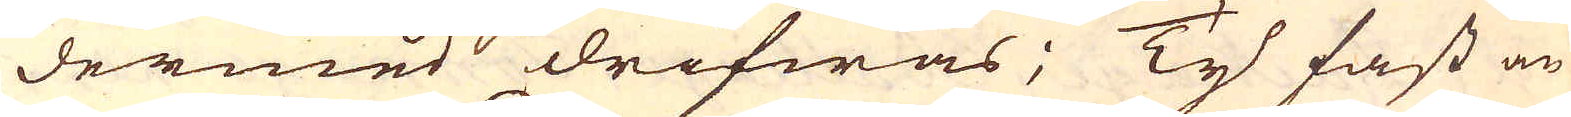dermed drifwas; Ty fast än
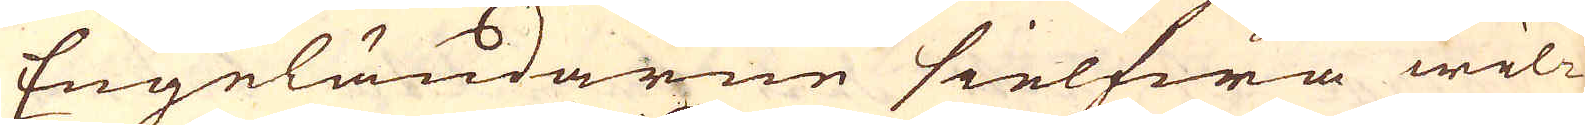Engeländarne sielfwa wil-
